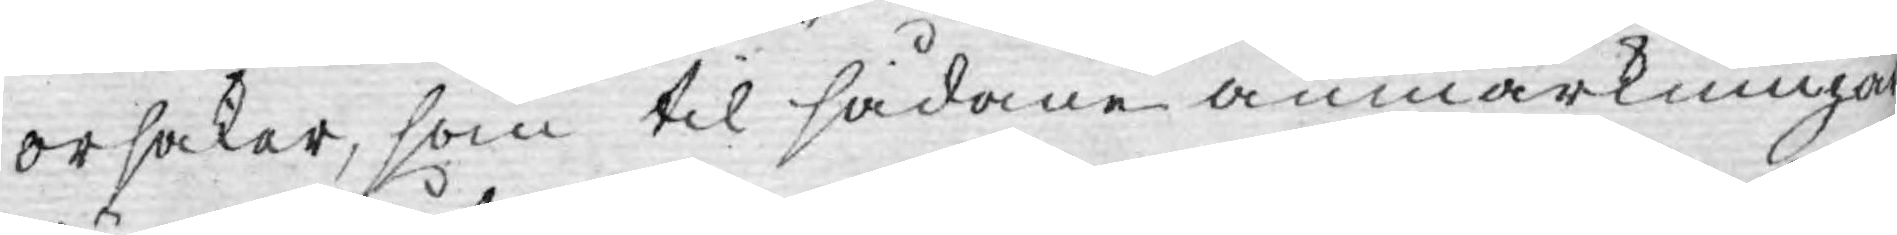orsaker, som til sådane anmärkningar
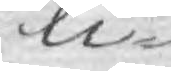li¬
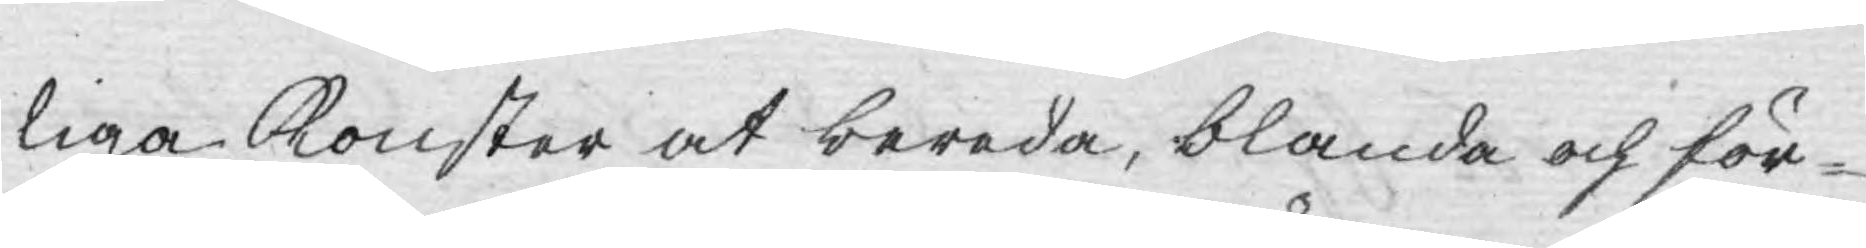liga Konster at bereda, blanda och för¬
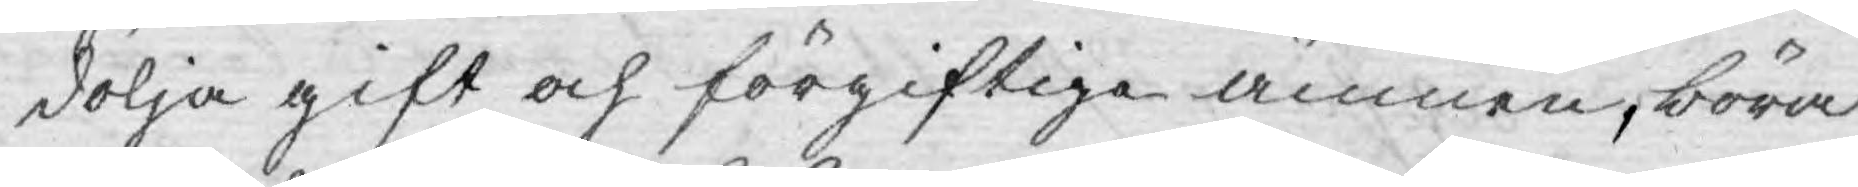dölja gift och förgiftiga ämnen, böra
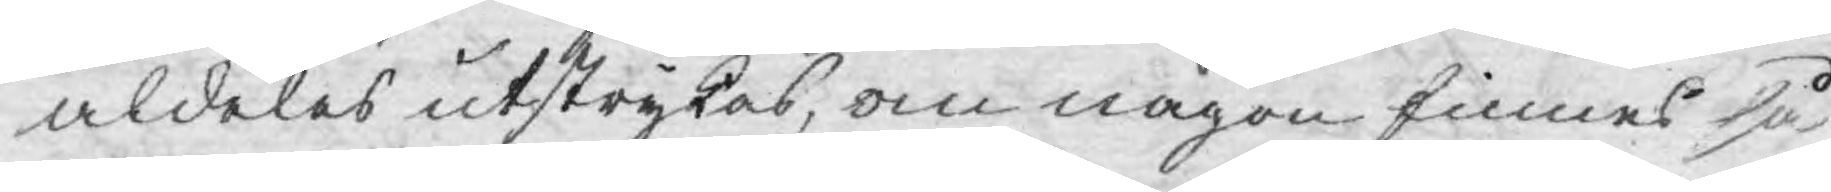aldeles utstrykas, om någon finnes så
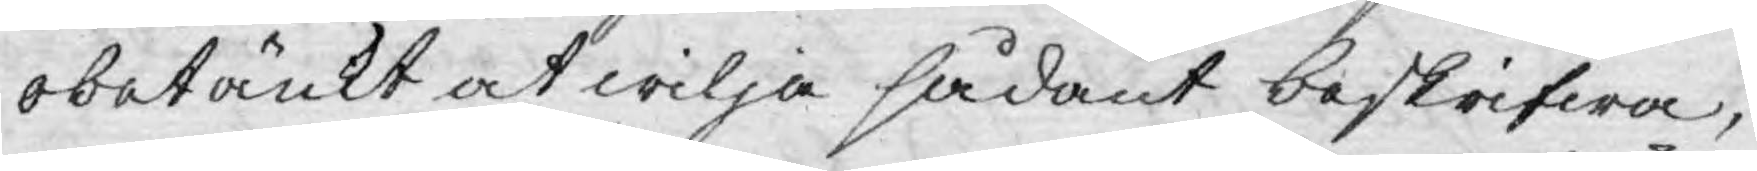obetänkt at wilja sådant beskrifwa;
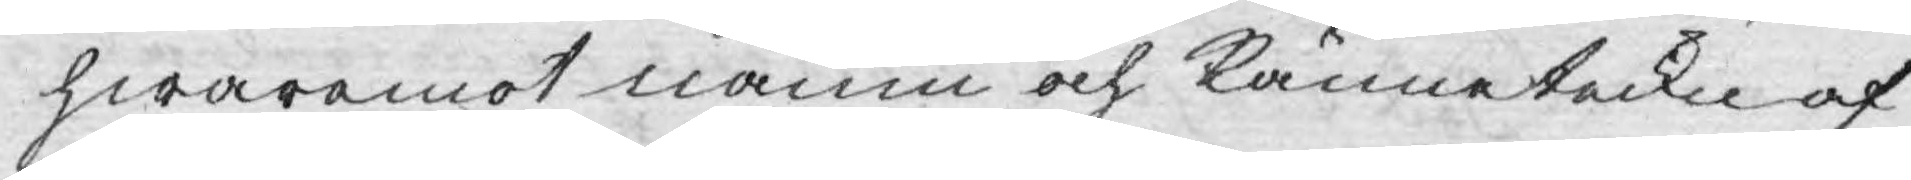hwaremot namn och Känneteckn af
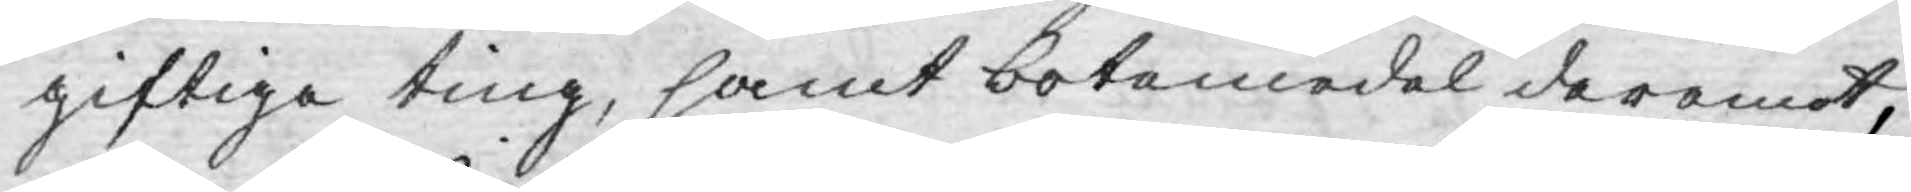giftiga ting, samt botemedel deremot,
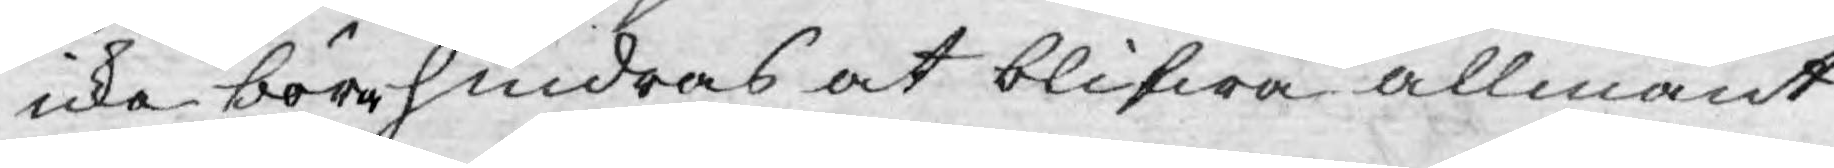icke böra hindras at blifwa allmänt
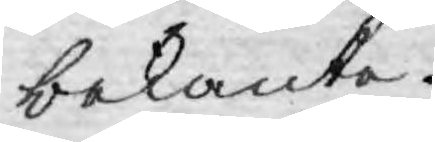bekanta.
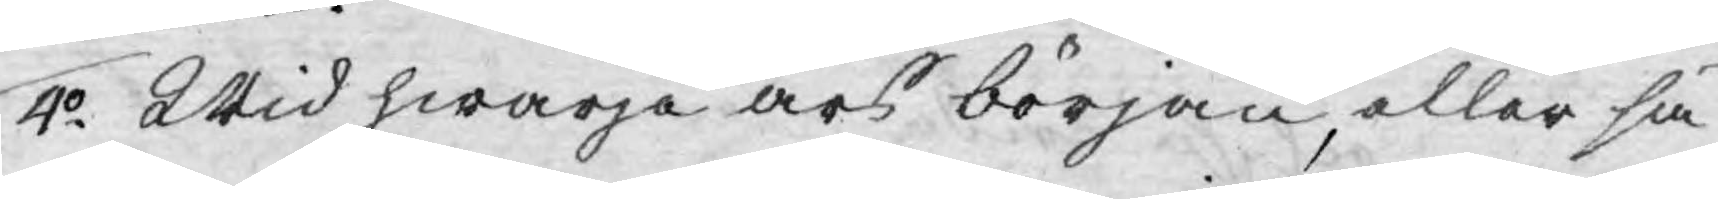4o Wid hwarje års början, eller så
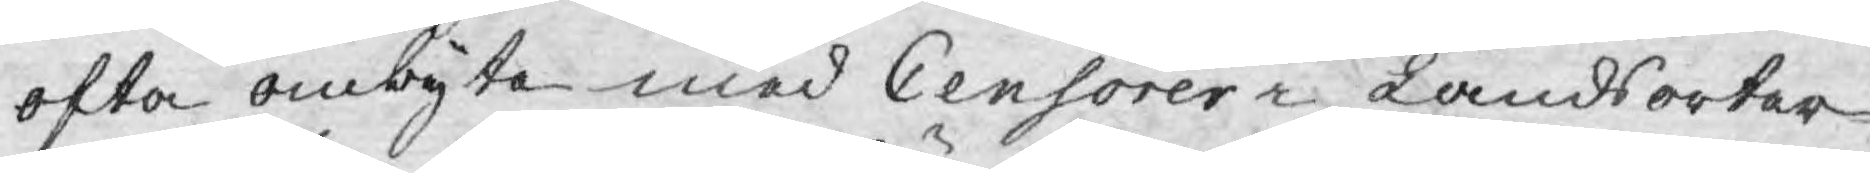ofta ombyte med Censorer i Landsorter¬
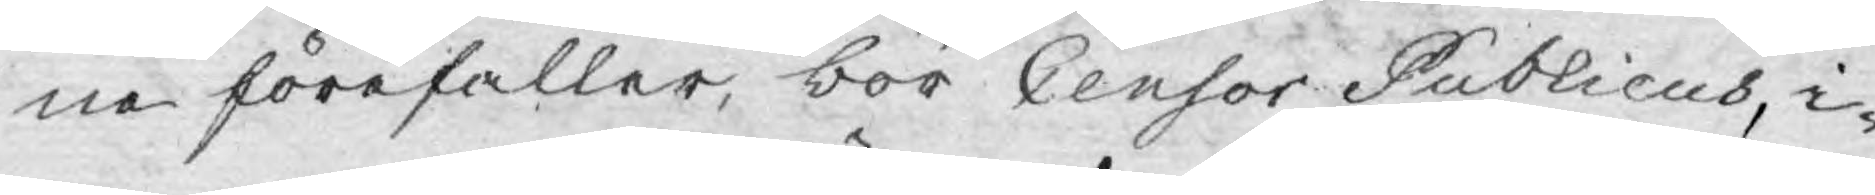ne förefaller, bor Censor Publicus, i¬
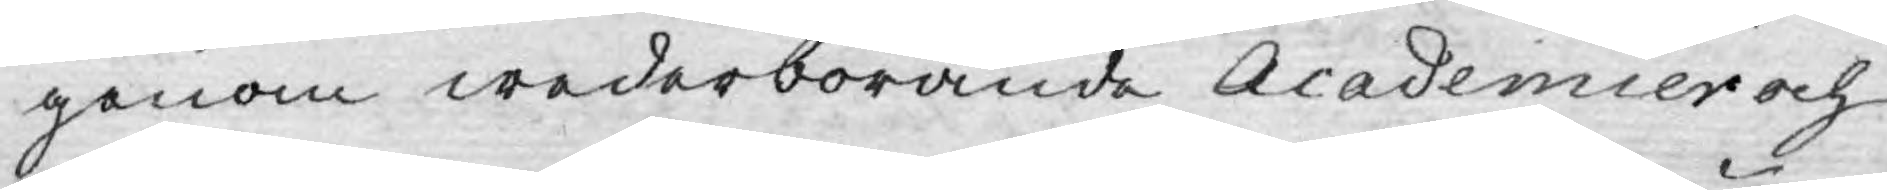genom wederbörande Academier och
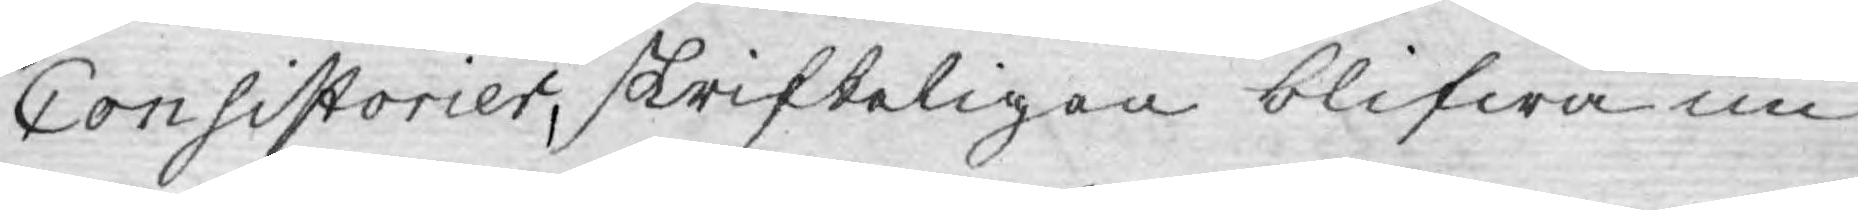Consistorier, skrifteligen blifwa un¬
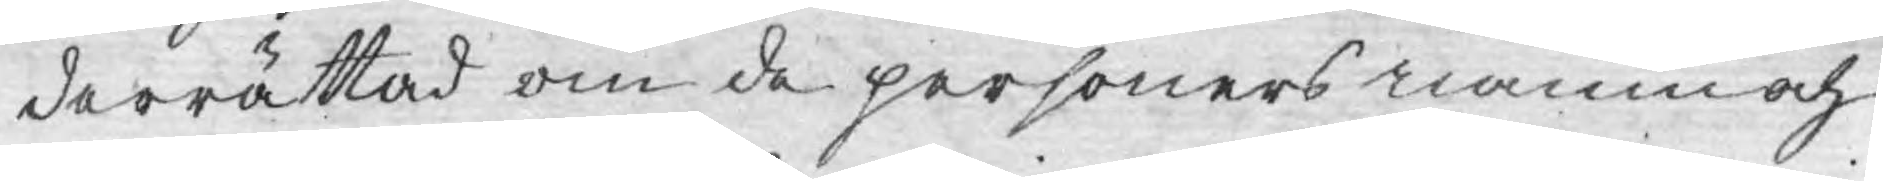derrättad om de personers namn och
